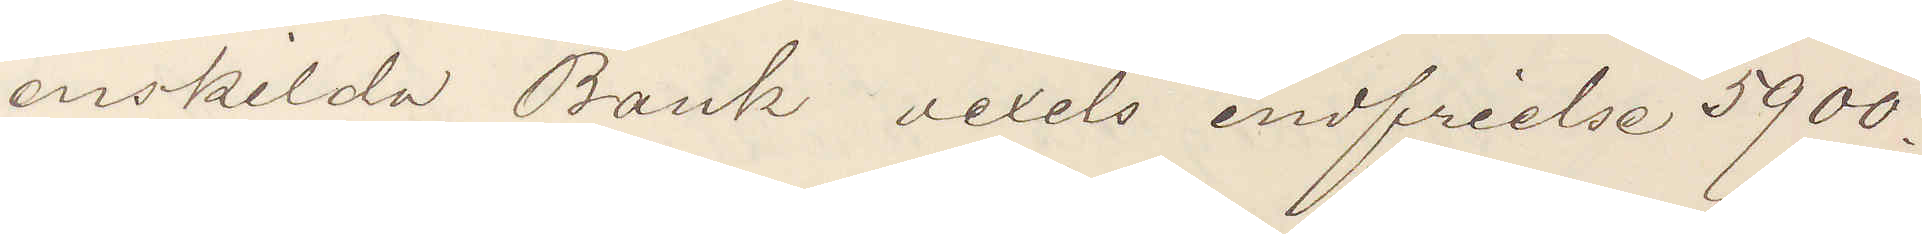enskilda Bank vexels indfrielse 5900.
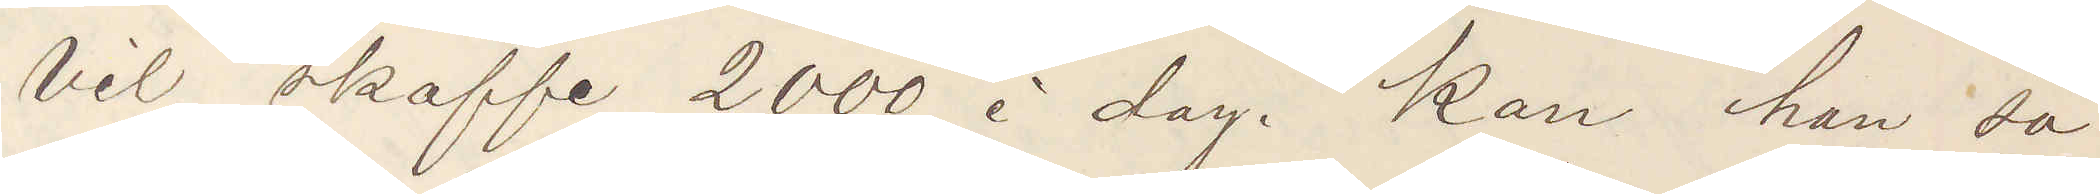Vil skaffe 2000 i dag. Kan han så
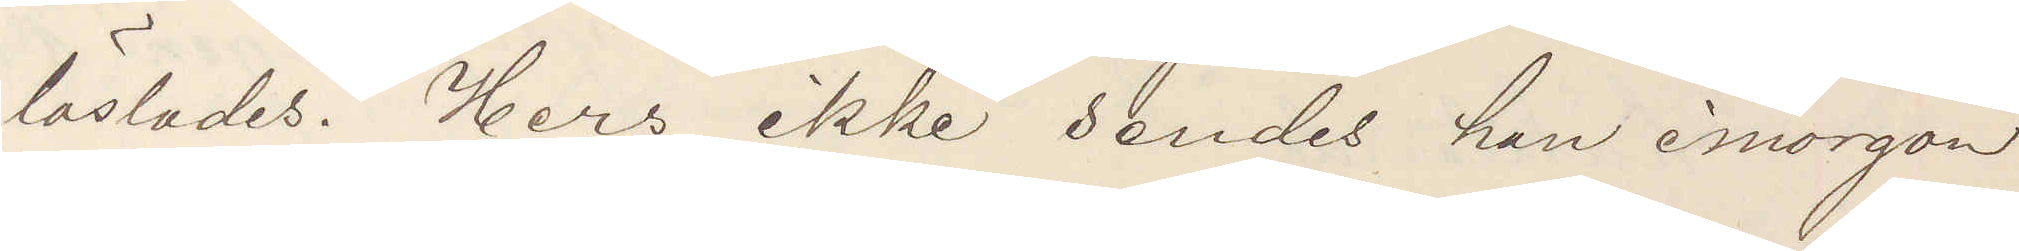löslades. Hers ikke sendes han imorgon
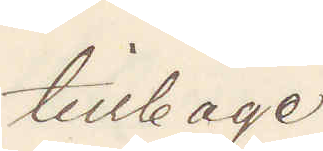tillbage
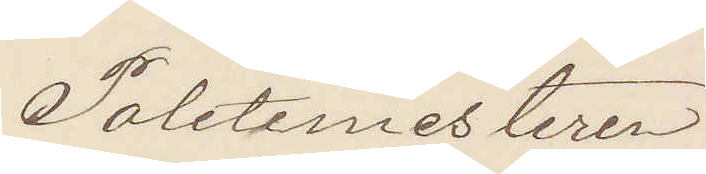Politimesteren.
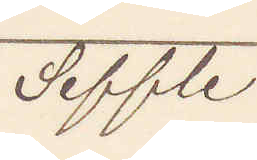Seffle
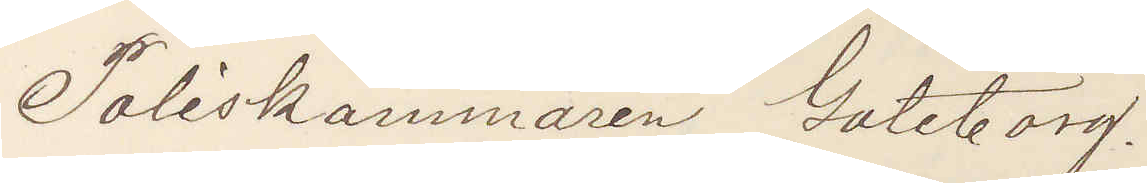Poliskammaren Göteborg.
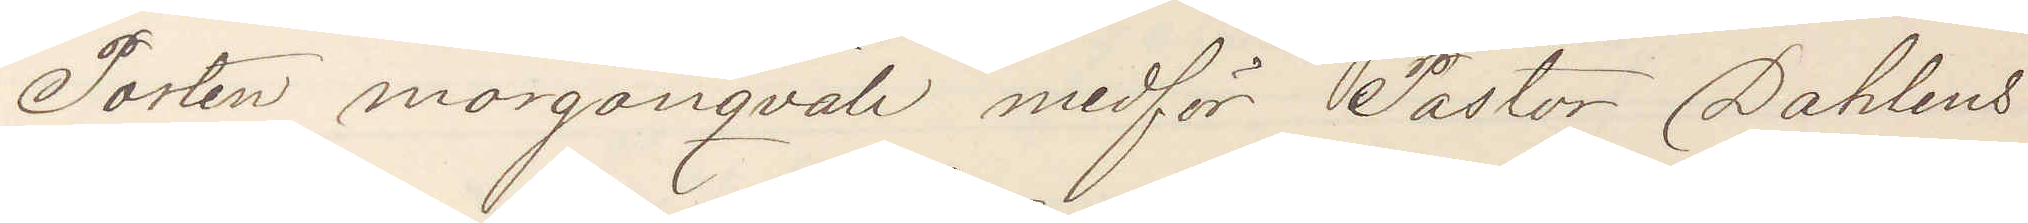Posten morgonqväll medför Pastor Dahlens
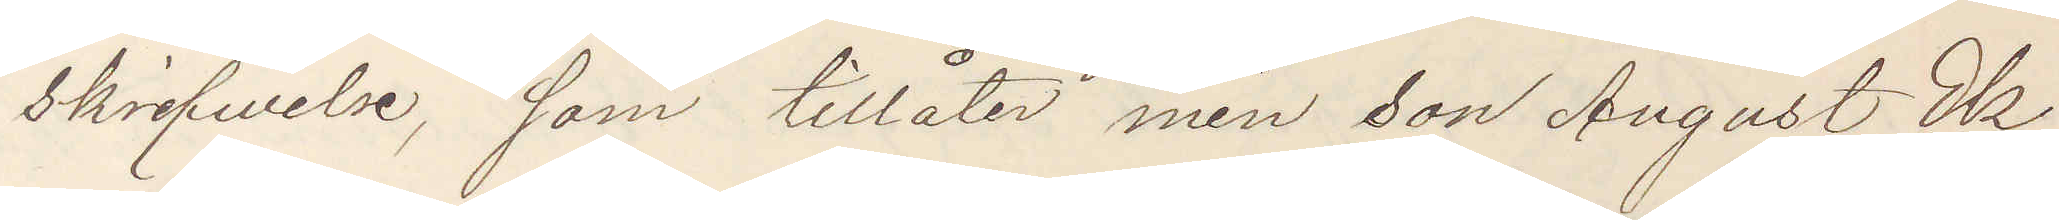skrifvelse som tillåter min son August Ek¬
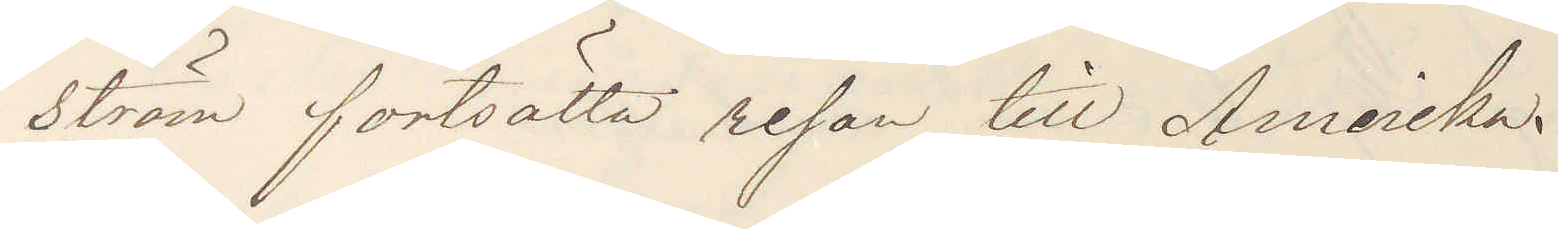ström fortsätta resan till Amerika.
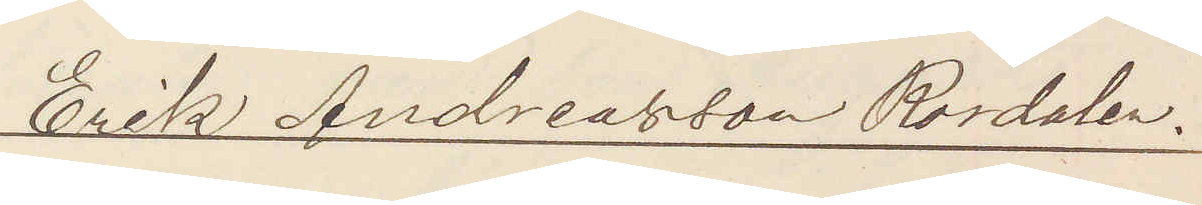Erik Andreasson Rördalen.
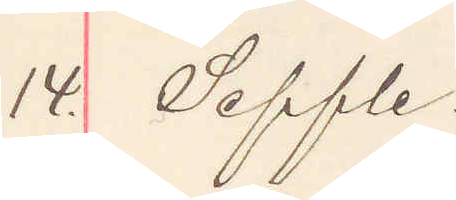14. Seffle
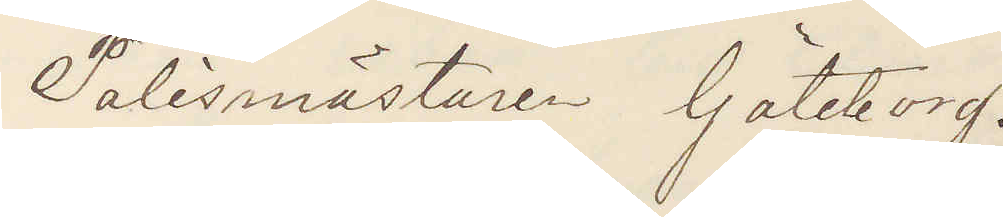Polismästaren Göteborg.
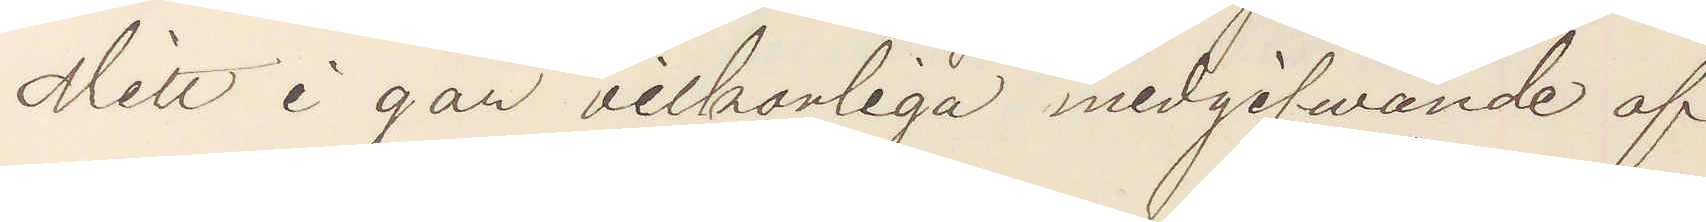Mitt i går vilkorliga medgifvande af
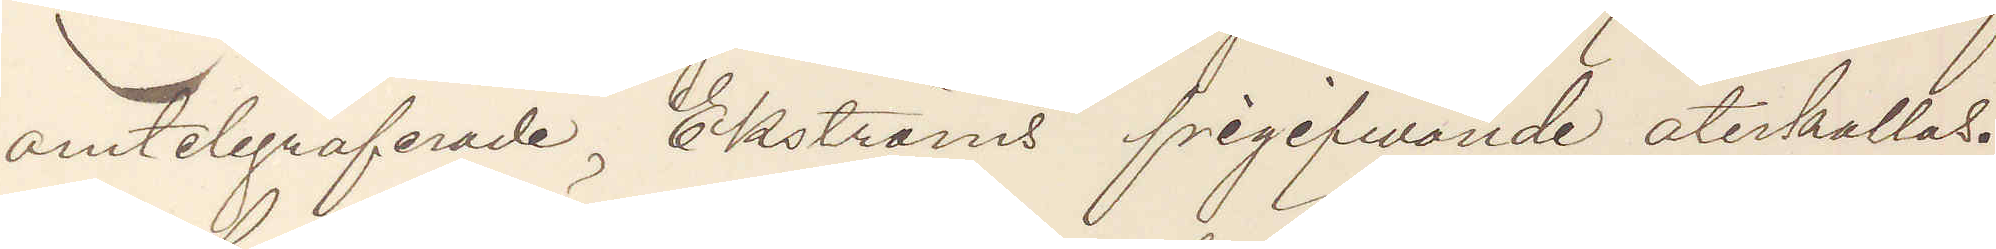omtelegraferade Ekströms frigifvande återkallas.
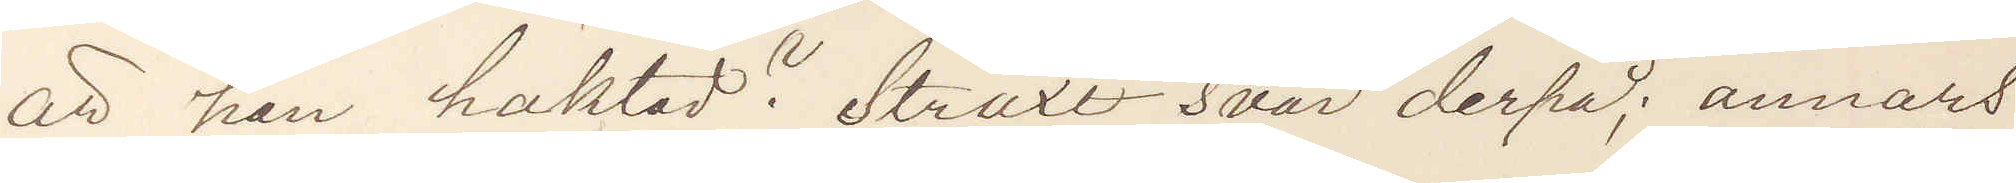Är han häktad? Straxt svar derpå; annars
